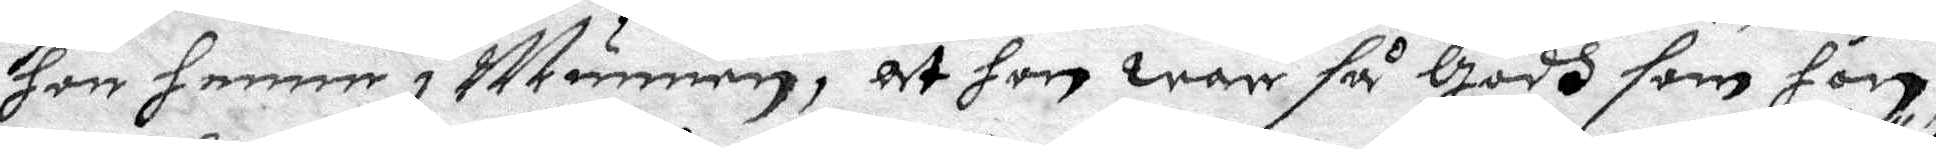hon henne i Munnen, at hon war så Godh som hon,
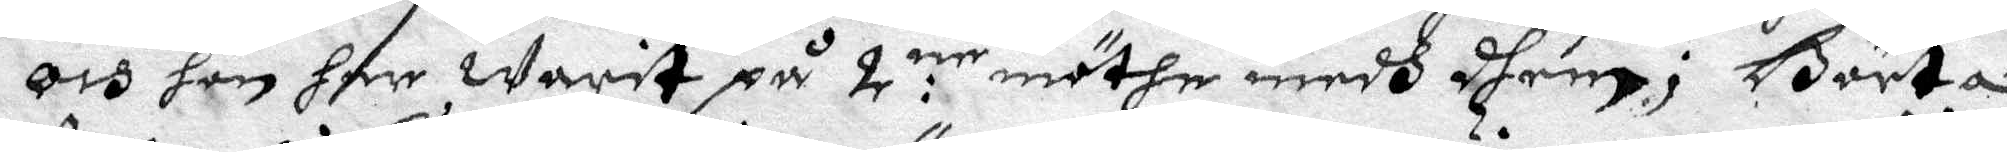och hon har warit på 2:ne möthen medh dhem; Börta
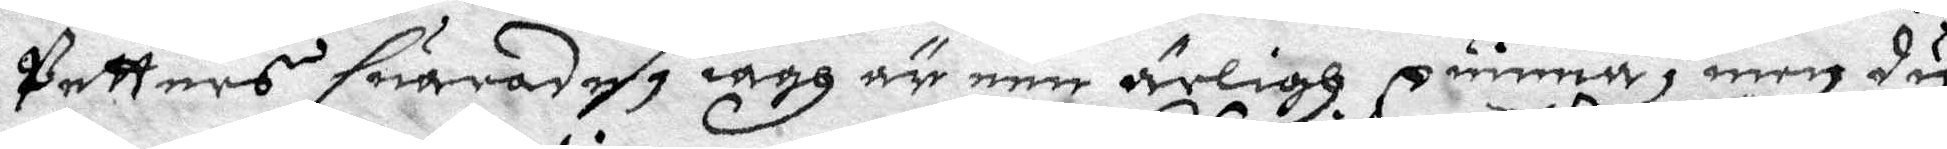Petters suaradhe, iagh är een ärligh quinna, men du
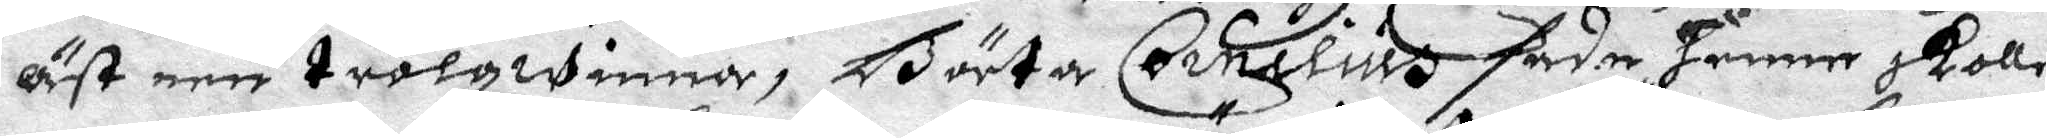äst een trolqwinna, Börta Cornelius sade henne skolle
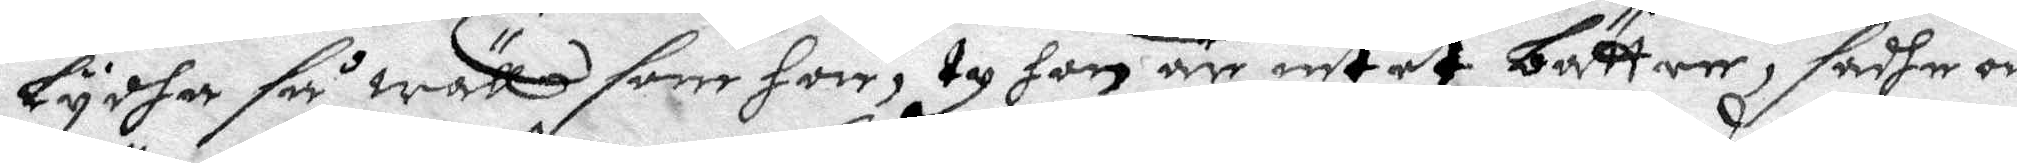Lydha så wäll som hon, ty hon är intet bättre, sadhe och
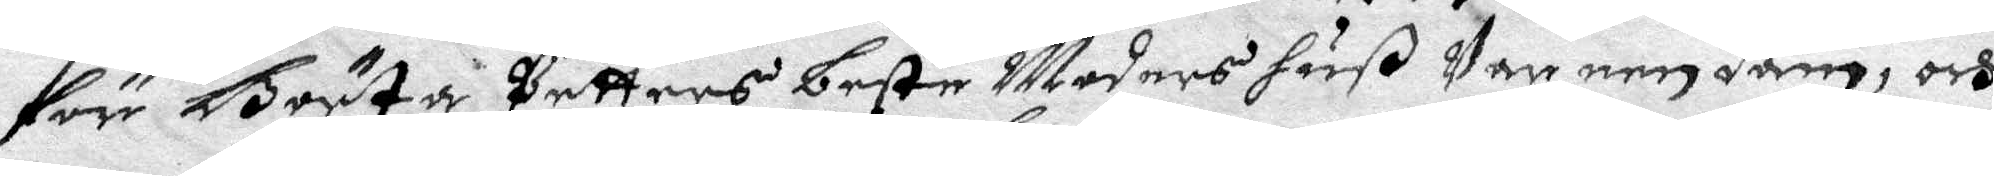för Börta Petters beste Moders huß Var een dann, och
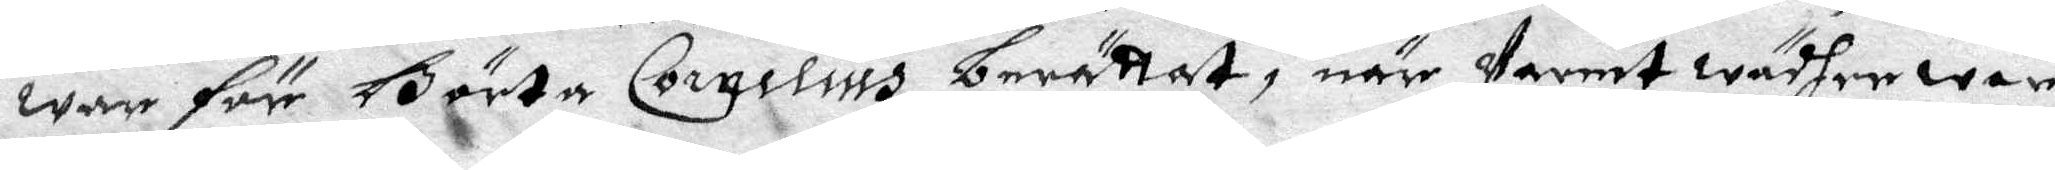war för Börta Cornelius berättat, när Varmt wädher war
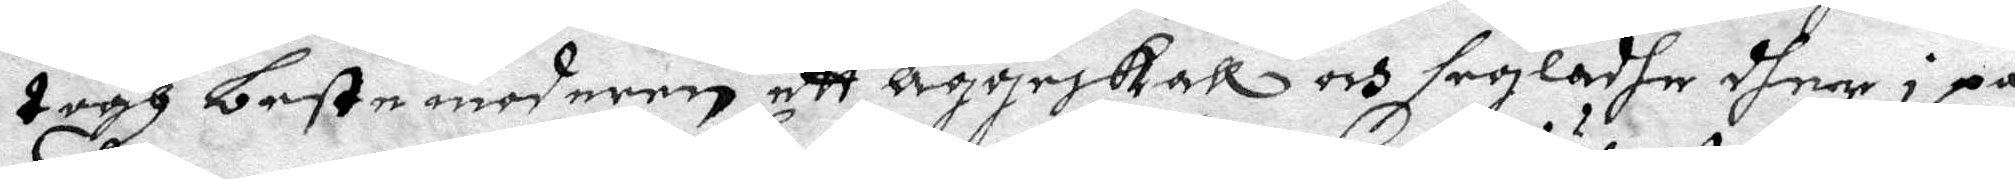togh beste moderen ett Äggeskall och segladhe dher i på
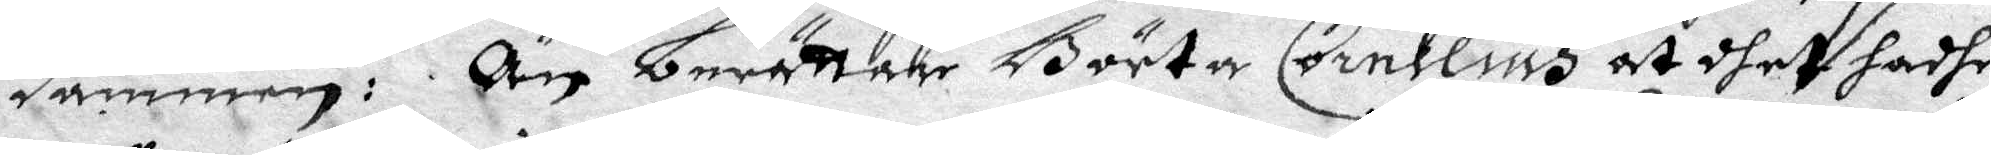dammen: Än berättar Börta Cornelius at dhet hadhe
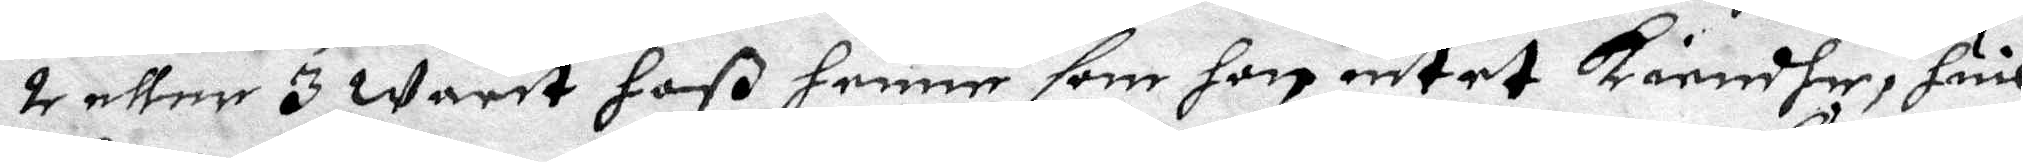2 eller 3 warit hoß henne som hon intet kiendhe, huil¬
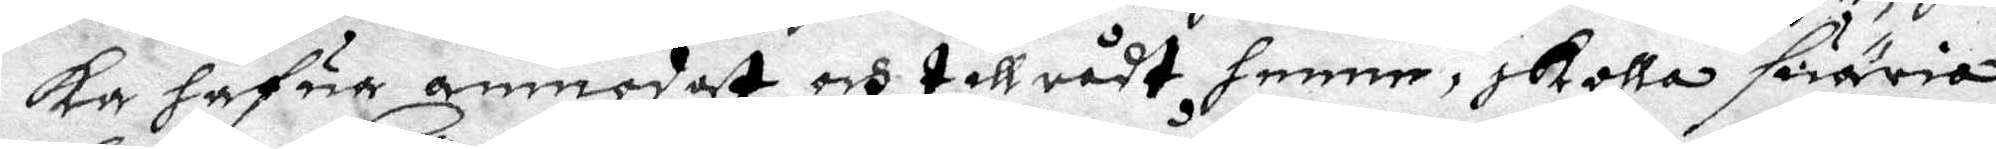ka hafur anmodat och till rådt henne, skolla suäria
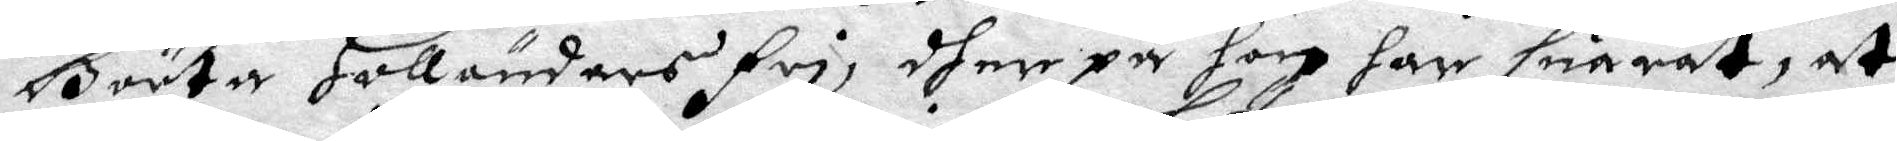Börta Holländers fri, dher på hon har suarat, at
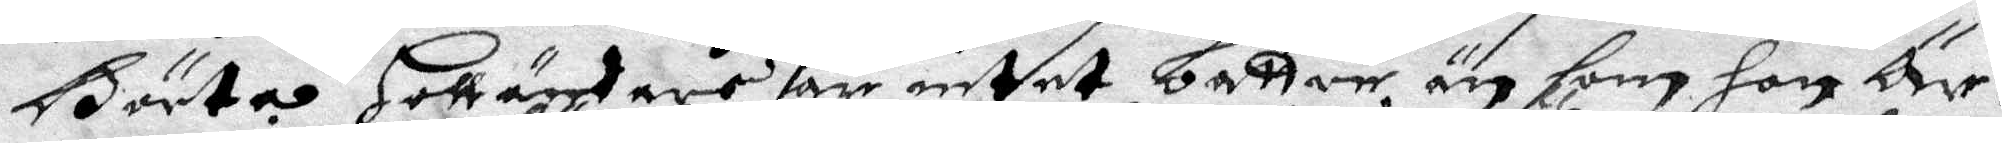Börta Holländers är intet bättre än som hon Är.
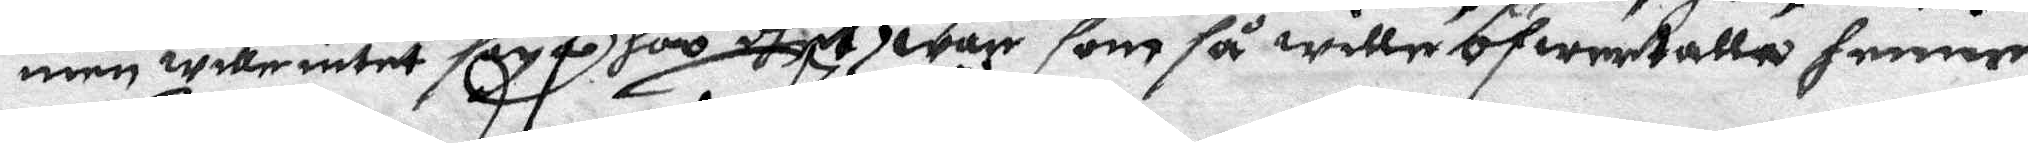men wille intet säga hoo dhet war som så wille öfwertalla henne.
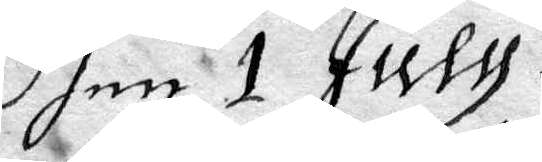Dhen 1 July.
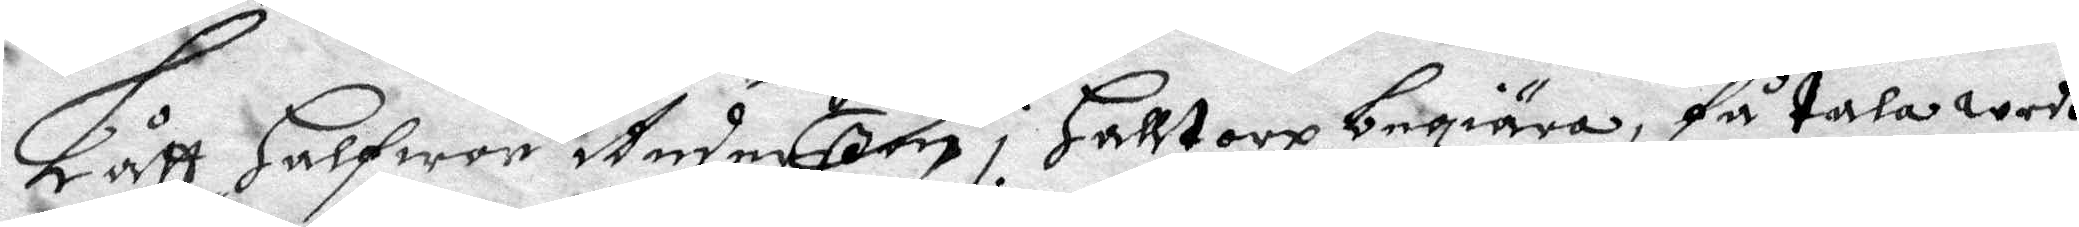Lått Halfwor Anderßon i Halltorp begiära, få tala wedh
